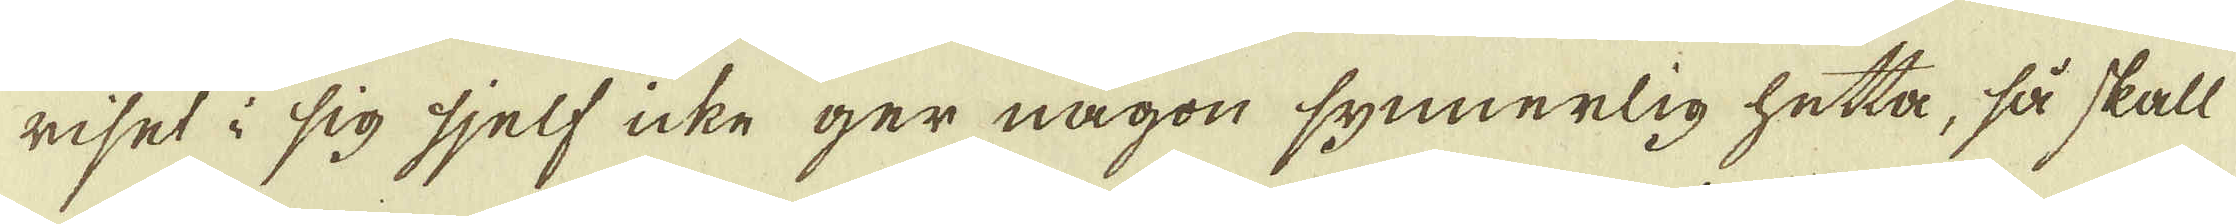riset i sig sjelf icke ger någon synnerlig hetta, så skall
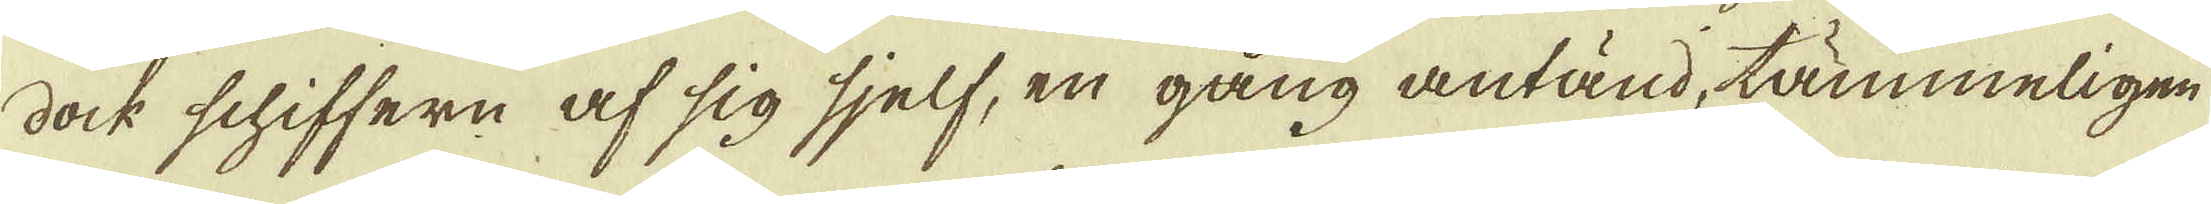dock schiffern af sig sjelf, en gång antänd, tämmeligen
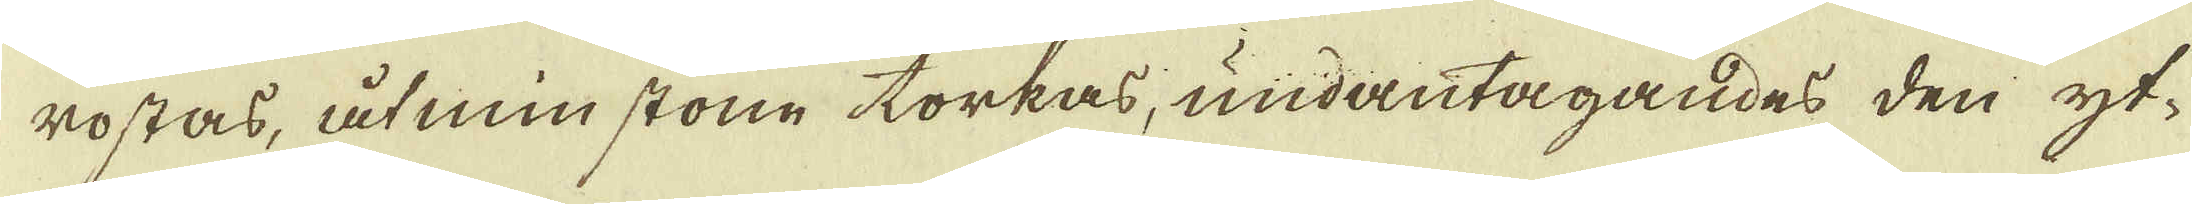rostas, åtminstone torkas, undantagandes den yt-
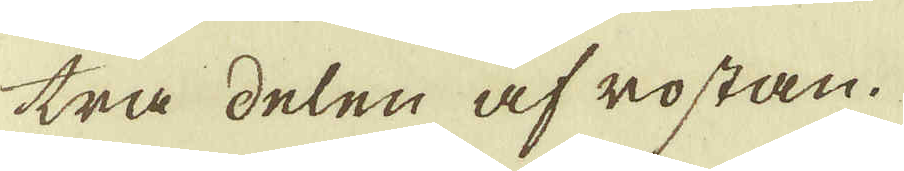tra delen af rostan.
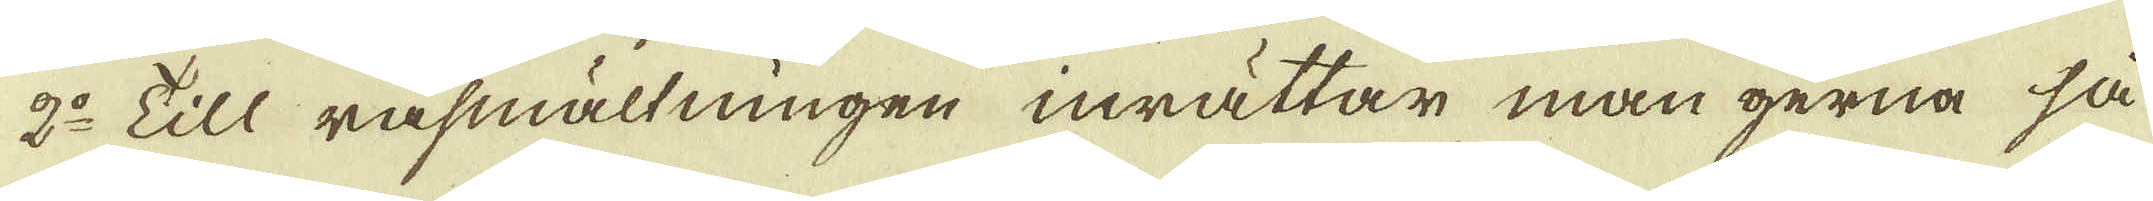2:o Till råsmältningen inrättar man gerna så
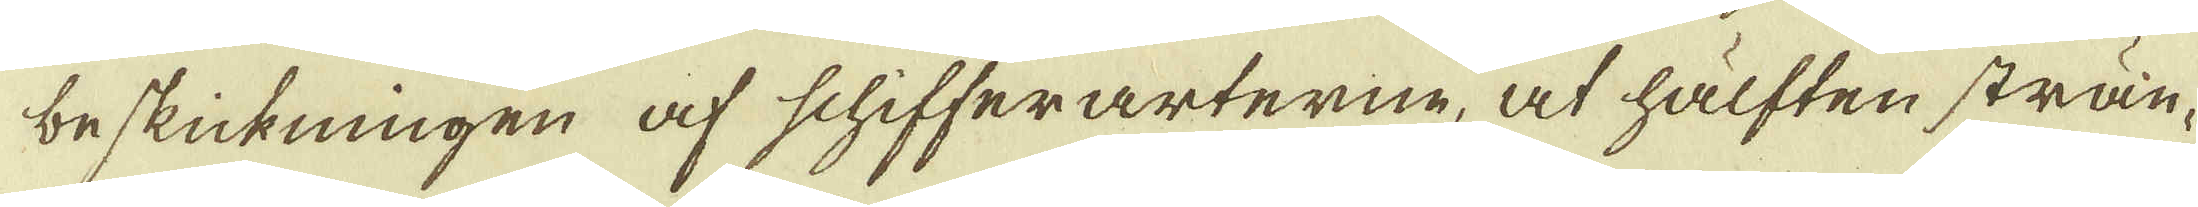beskickningen af schifferarterne, at hälften strän-
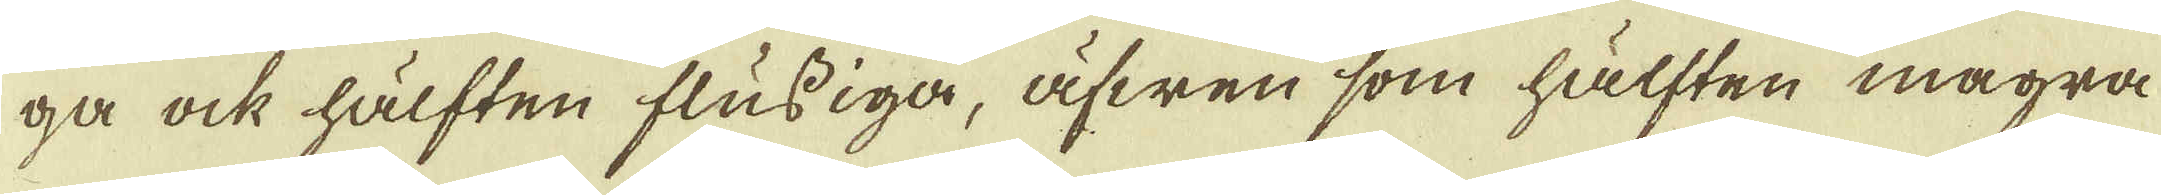ga ock hälften flussiga, äfwen som hälften magra
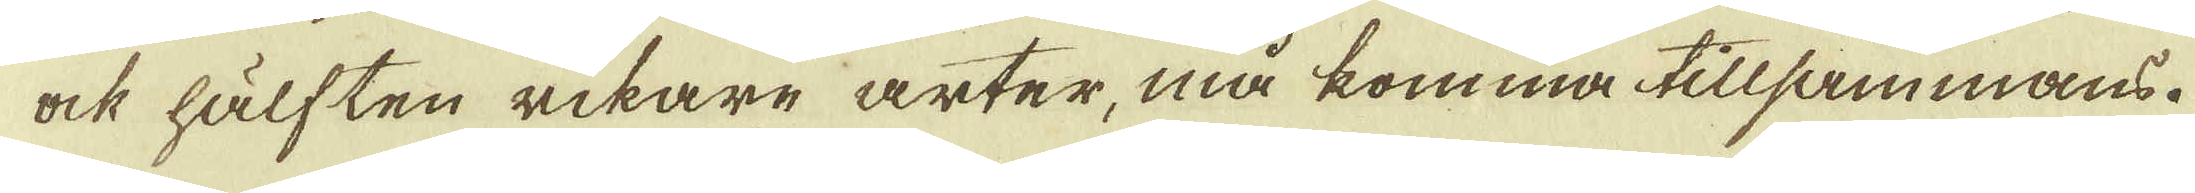ock hälften rikare arter, må komma tillsammans.
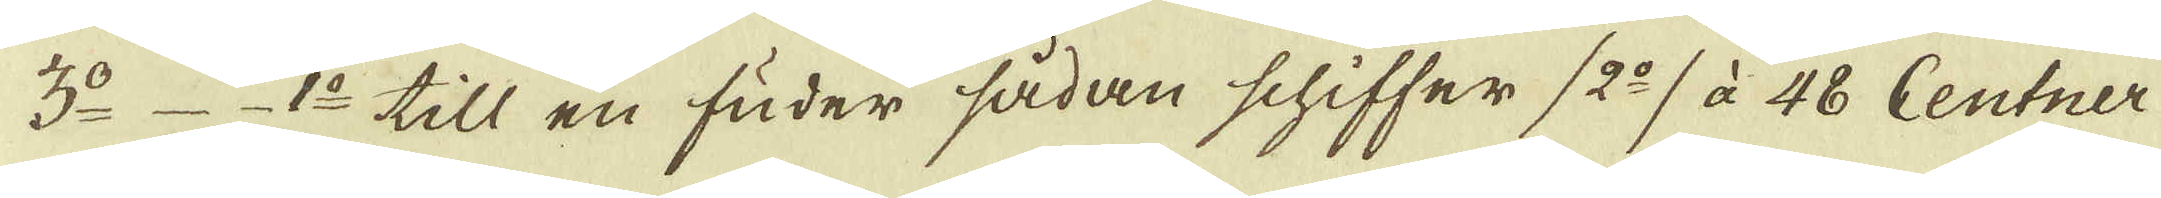3:o _ 1:o till en fuder sådan schiffer (2:o) à 48 Centner
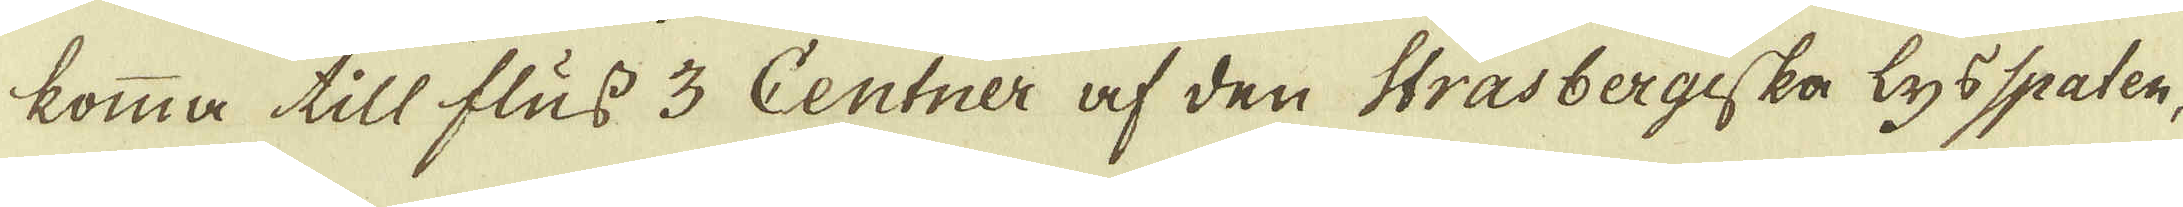komma till fluss 3 Centner af den Strasbergiska lysspaten,
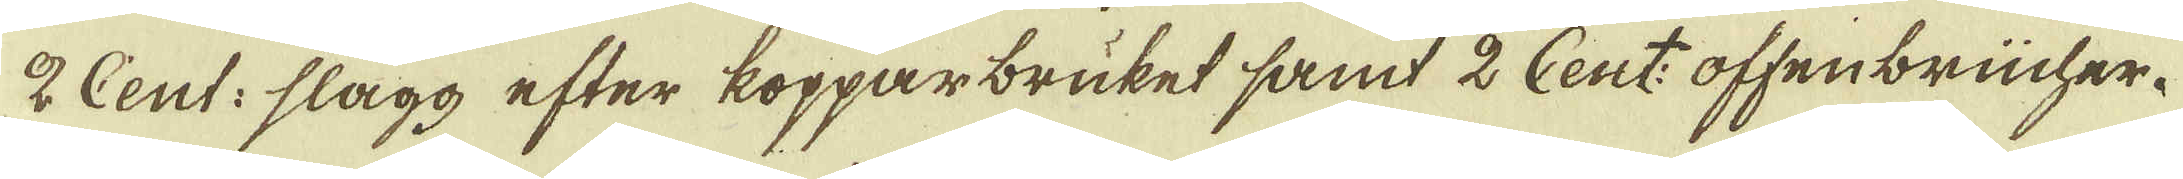2 Cent: slagg efter kopparbruket samt 2 Cent: offenbrücher.
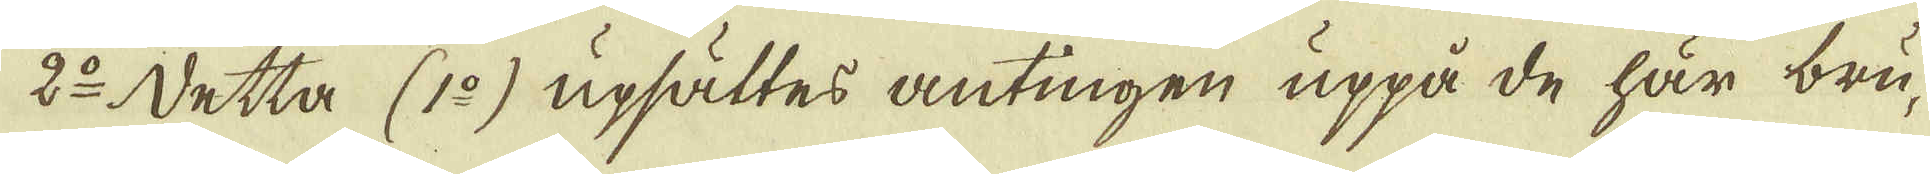2:o Detta (1:o) upsättes antingen uppå de här bru-
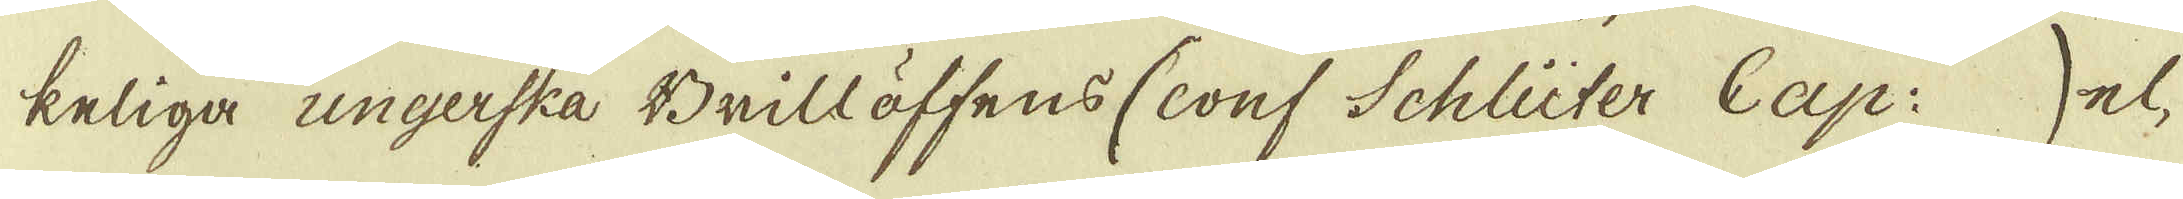keliga ungerska Brillöffens (conf Schlüter Cap: ) el-
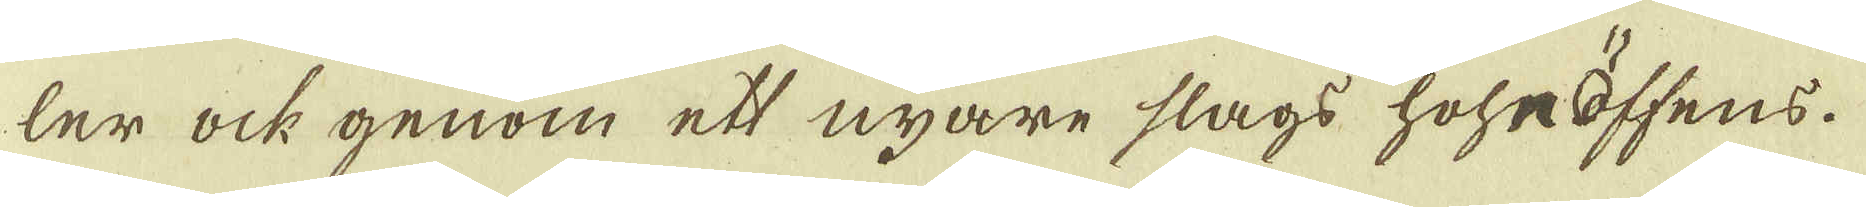ler ock genom ett nyare slags hoheöffens.
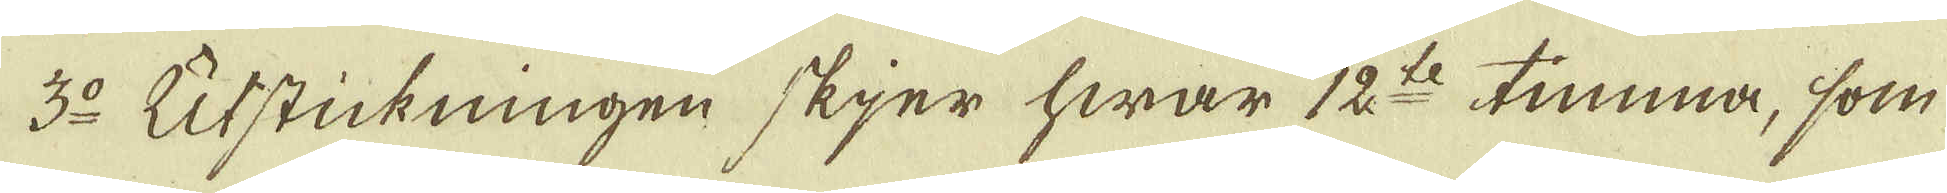3:o Utstickningen skjer hwar 12:te timma, som
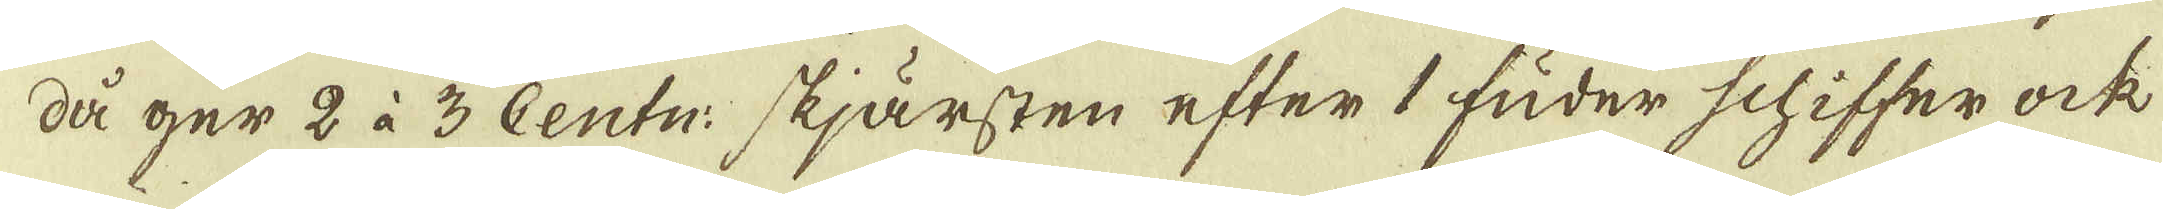då ger 2 à 3 Centn: skjärsten efter 1 fuder schiffer ock
